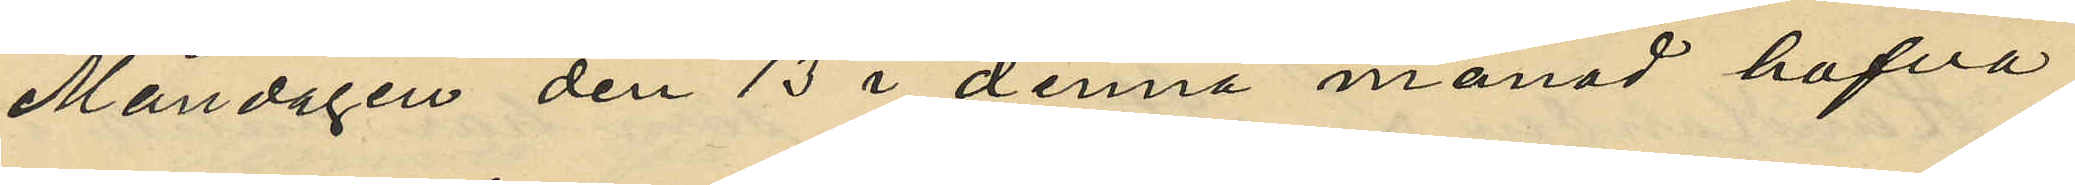Måndagen den 13 i denna månad hafva
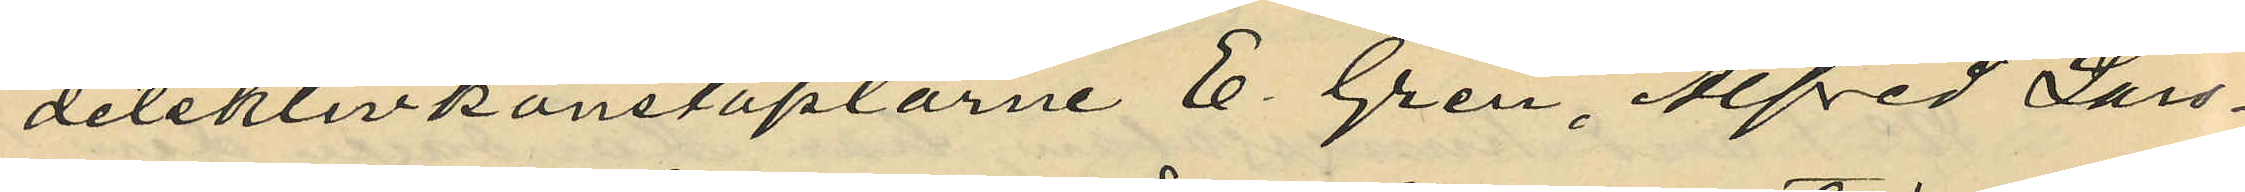detektivkonstaplarne E. Gren, Alfred Lars¬
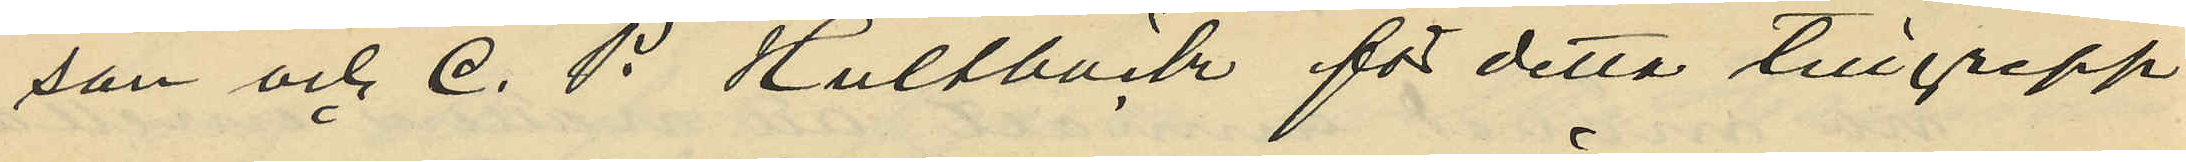son och C. P. Hultbäck för detta tillgrepp
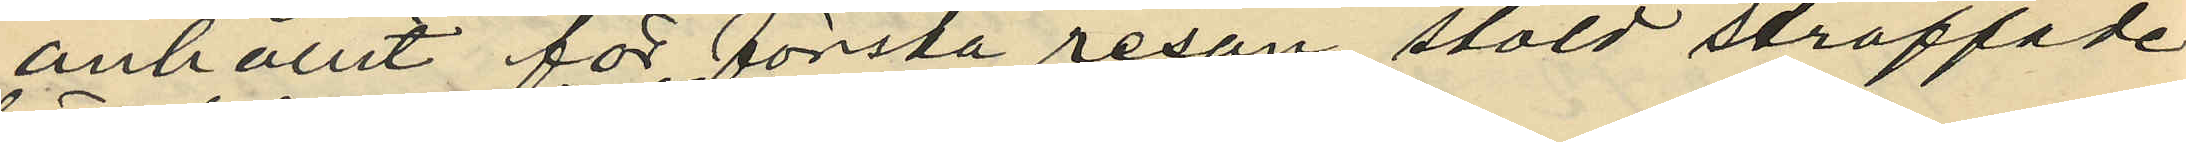anhållit för första resan stöld straffade
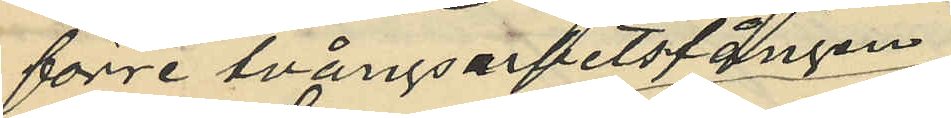förre tvångsarbetsfången
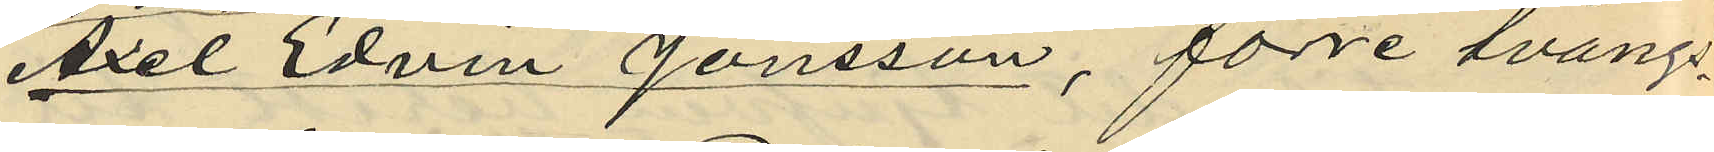Axel Edvin Jönsson, förre tvång¬
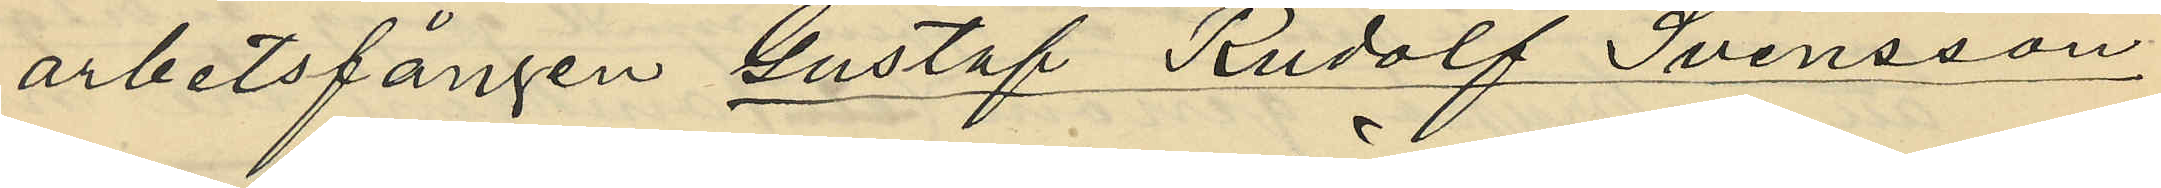arbetsfången Gustaf Rudolf Svensson
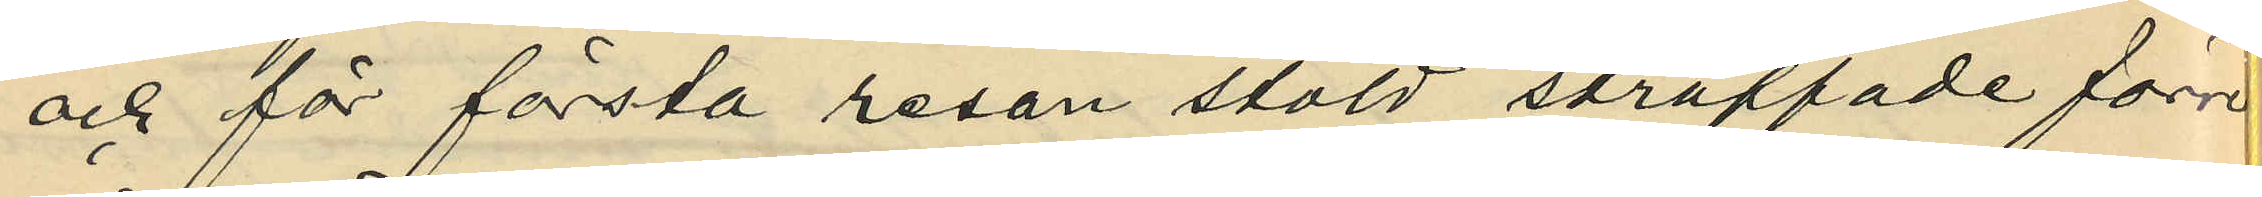och för första resan stöld straffade förre
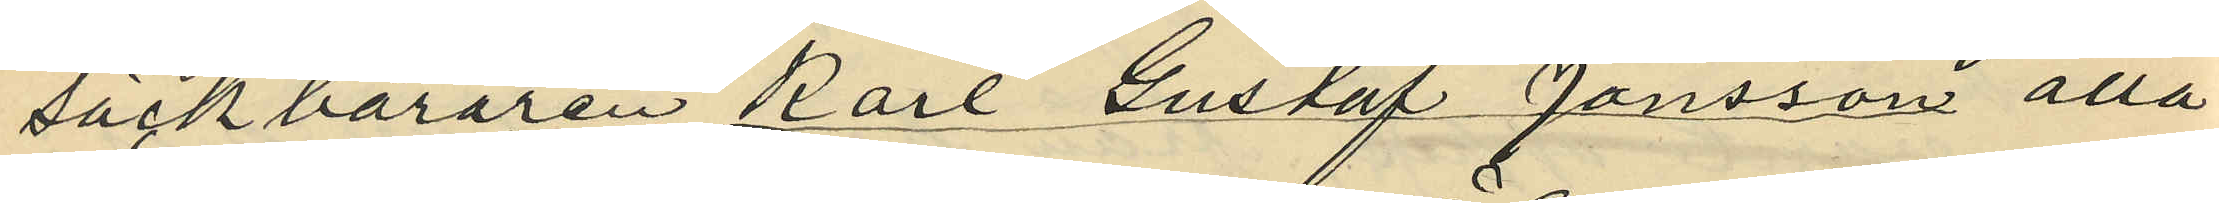säckbäraren Karl Gustaf Jönsson alla
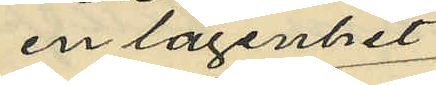en lägenhet
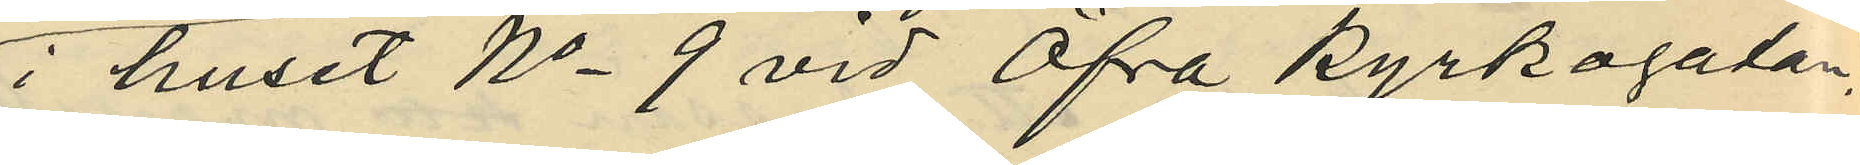i huset No 9 vid Öfre kyrkogatan,
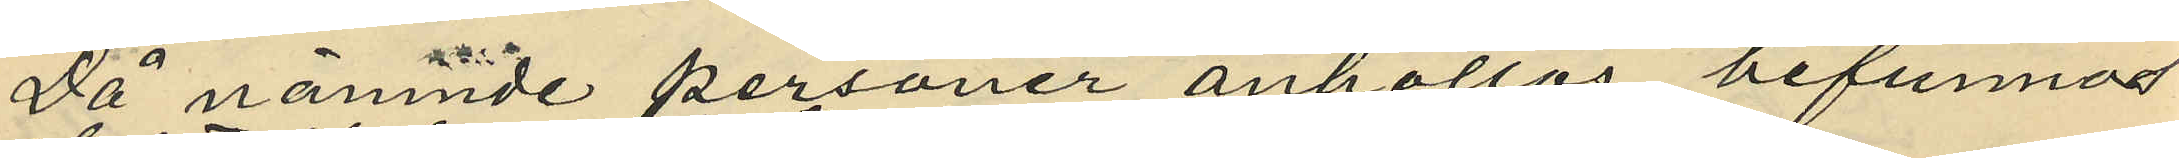då nämnde personer anhöllos befunnos
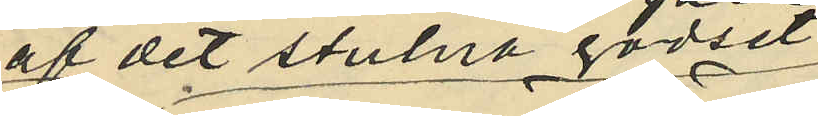af det stulna godset
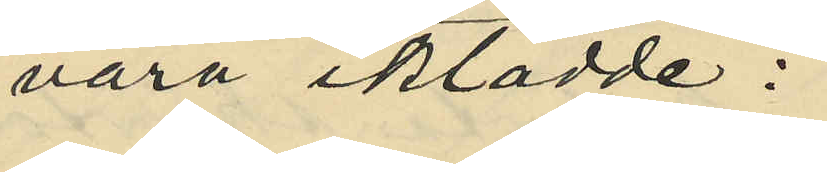vara iklädde:
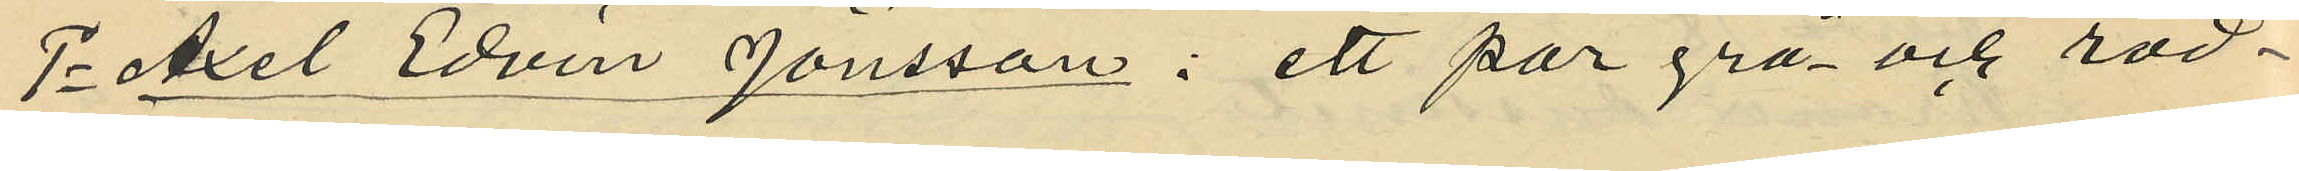1o Axel Edvin Jönsson: ett par grå och röd¬
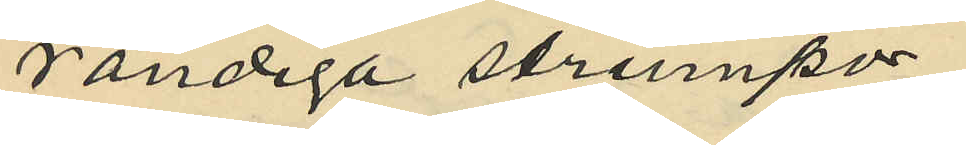randiga strumpor
